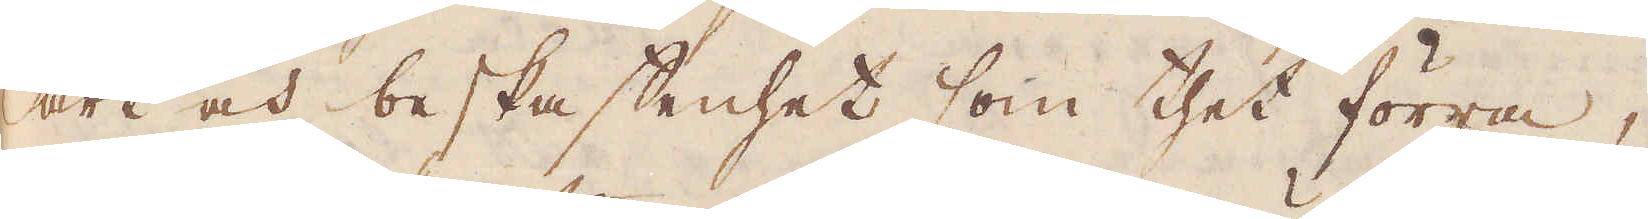art och beskaffenhet som thet förra,
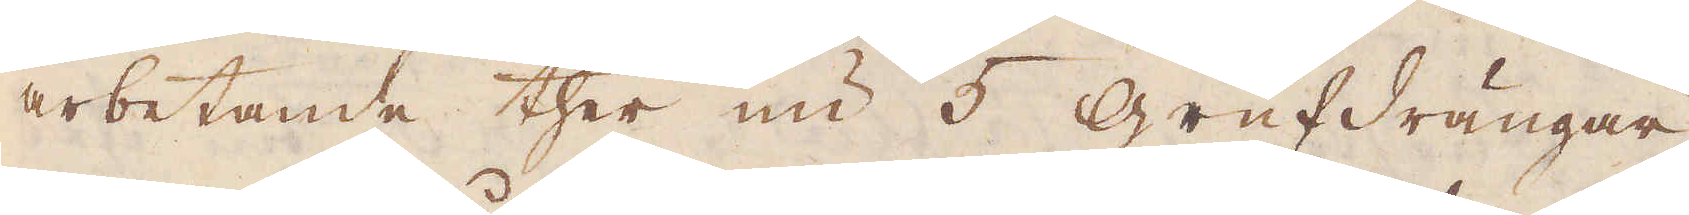arbetande ther nu 5 Grufdrängar.
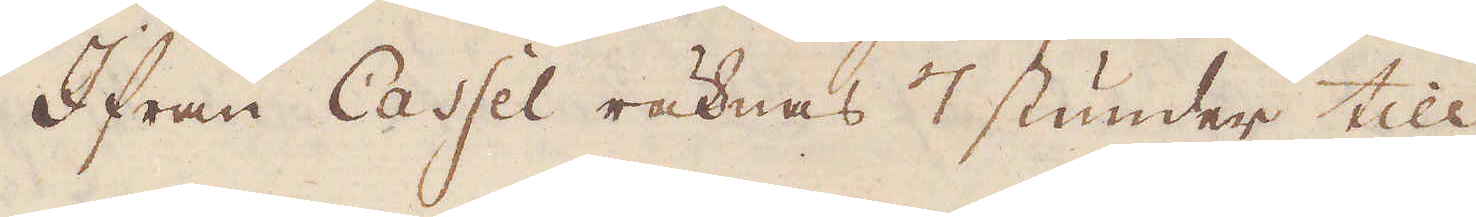Ifrån Cassel räknas 7 stunder till
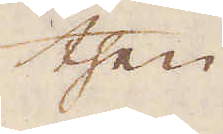then
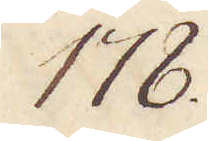178.
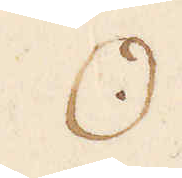☉
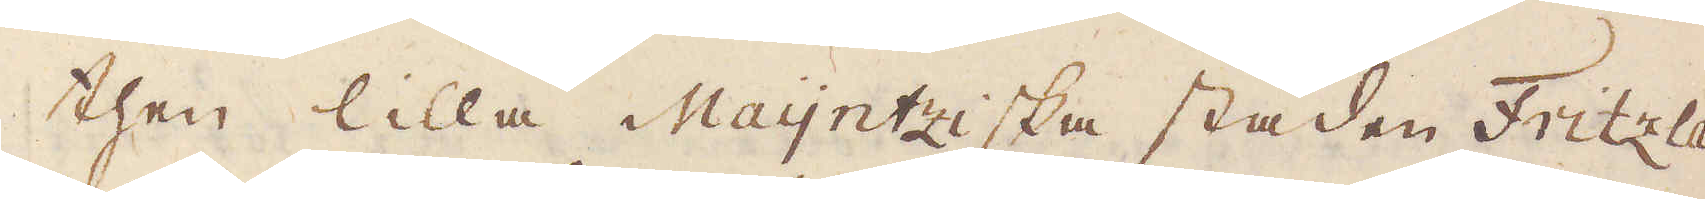then lilla Maijntziska staden Fritzlar
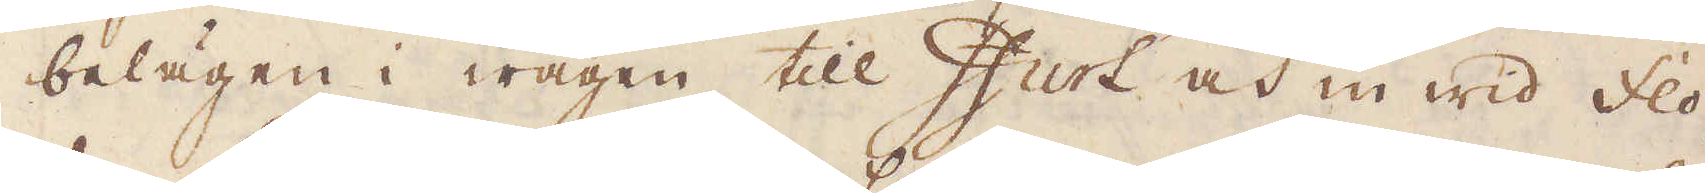belägen i wägen till Ifurt och in wid flod-
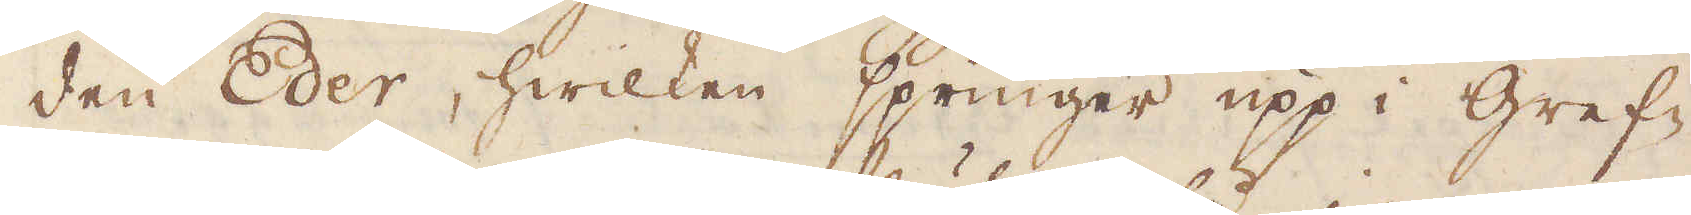den Eder, hwilken springer upp i Gref-
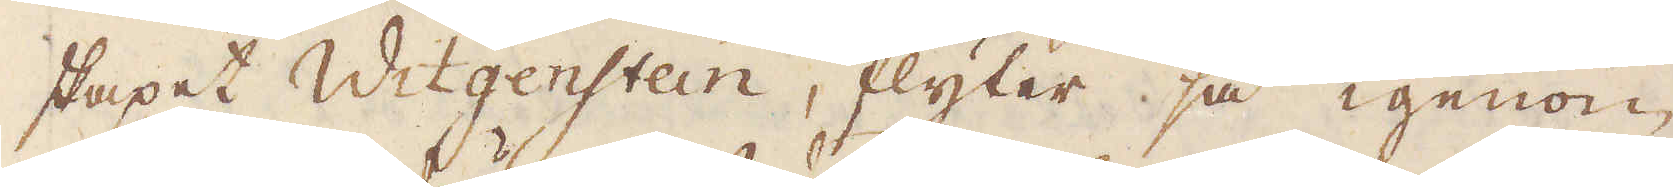skapet Witgenstein, flyter så igenom
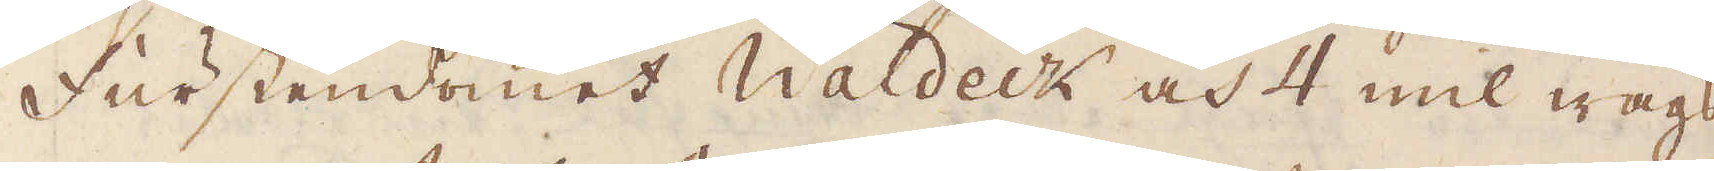Furstendömet Waldeck och 4 mil wägs
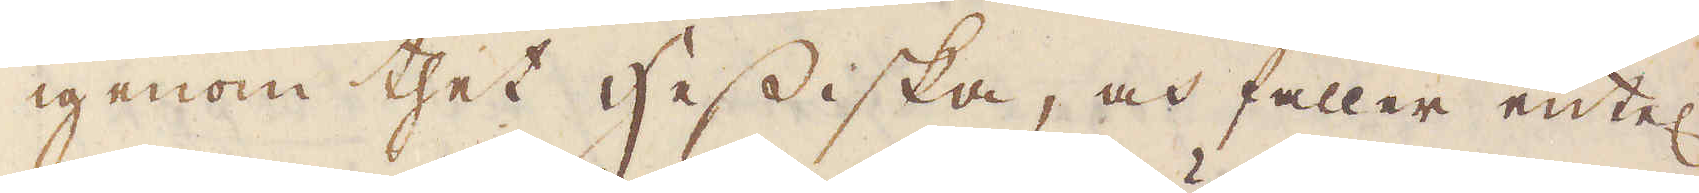igenom thet Hessiska, och faller entel:n
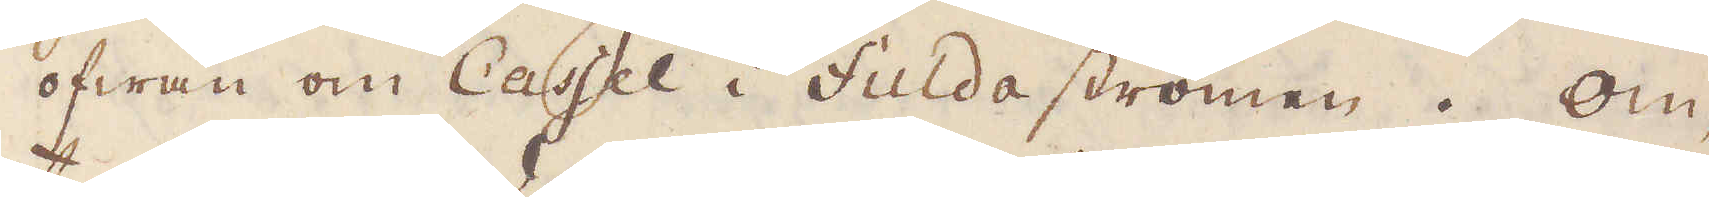ofwan om Cassel i Fulda strömen. Om-
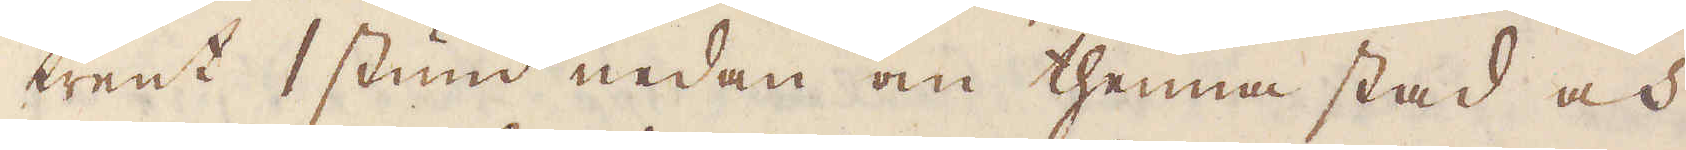trent 1 stund nedan om thenna stad och
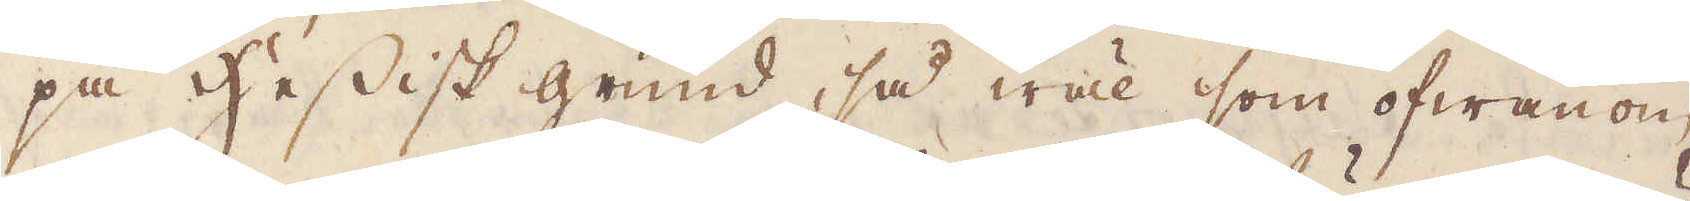på Hessisk grund, så wäl som ofwanom
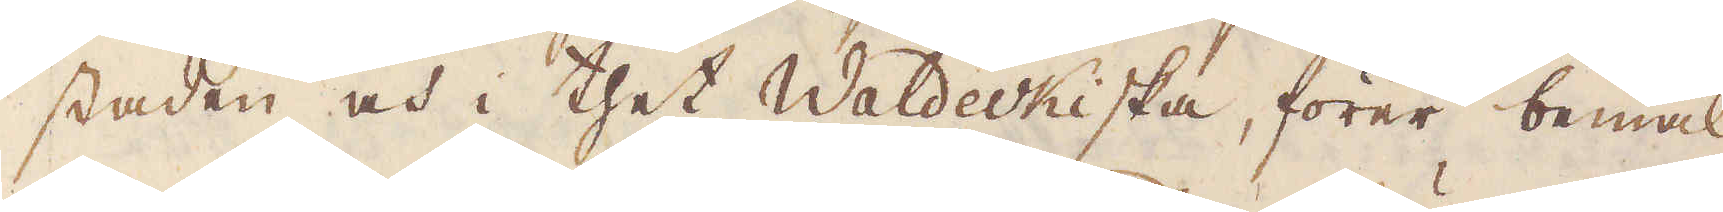staden och i thet Waldeckiska, förer bemäl-
